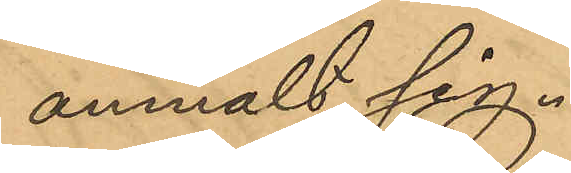anmält sig.
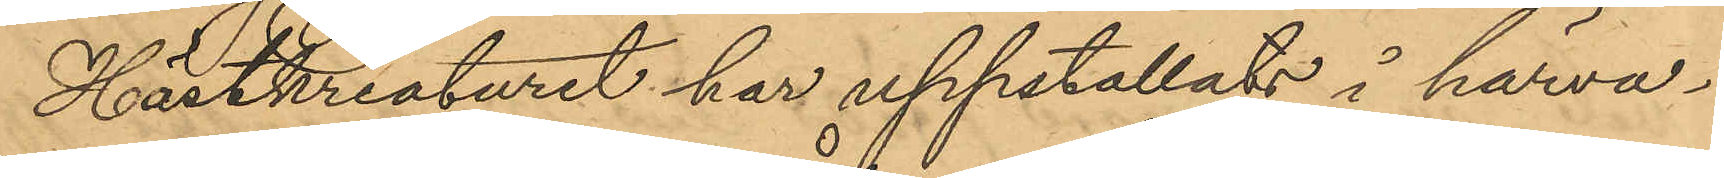Hästkreaturet har uppstallats i härva¬
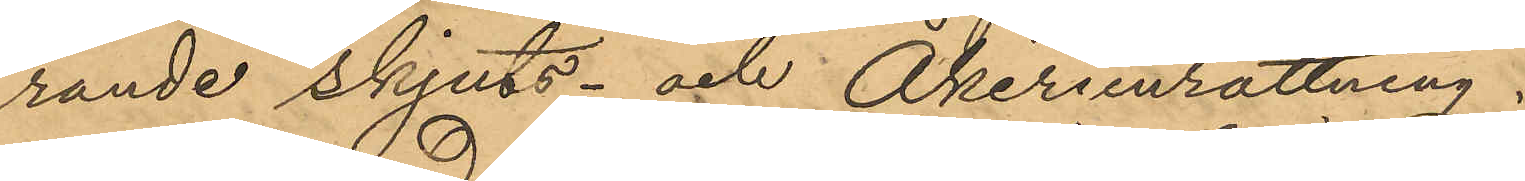rande skjuts- och Åkeriinrättning.
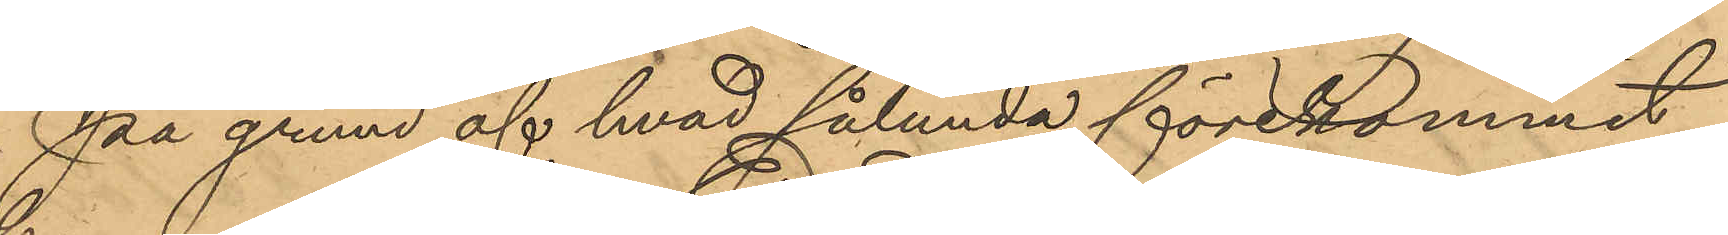På grund af hvad sålunda förekommit
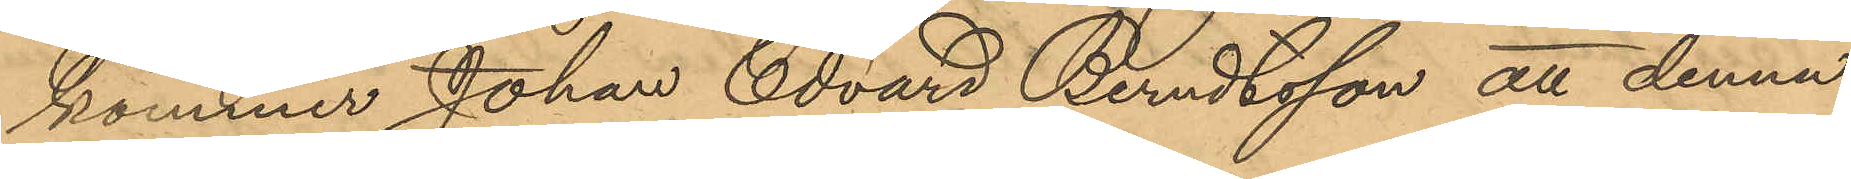kommer Johan Edvard Berndtsson att denna
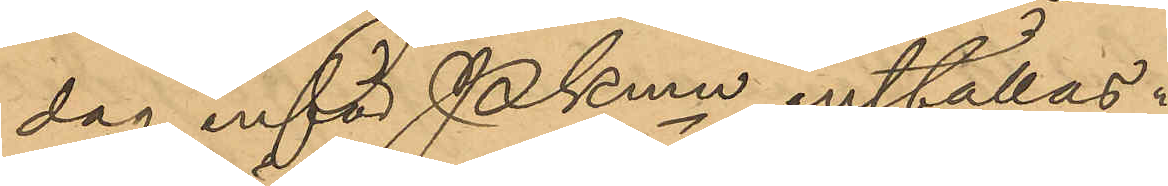dag inför Pkmn inställas.
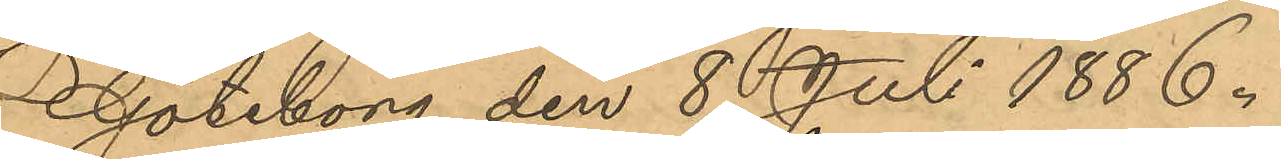Göteborg den 8 Juli 1886.
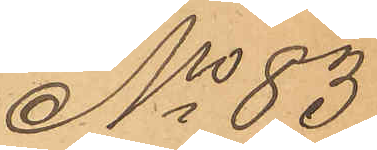No 83
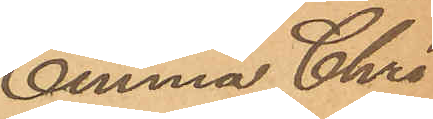Emma Chri¬
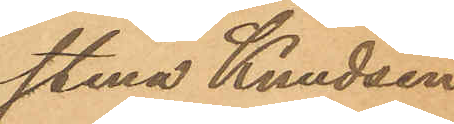stina Knudsen.
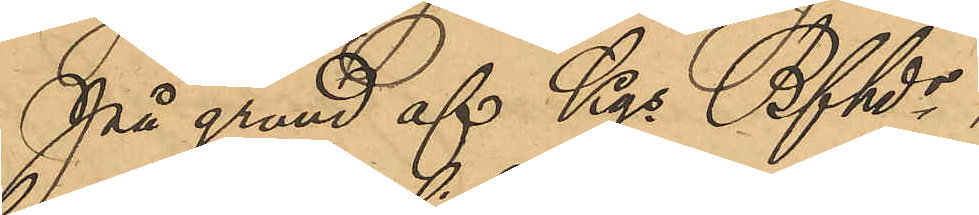På grund af Kgs Bfhds
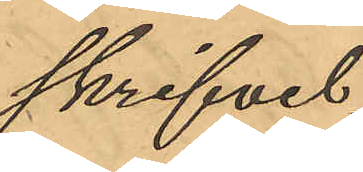skrifvel¬
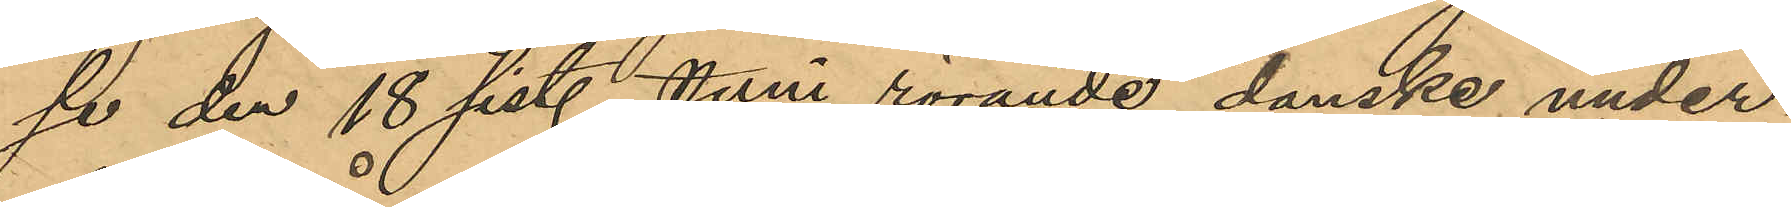se den 18 sist. Juni rörande danske under¬
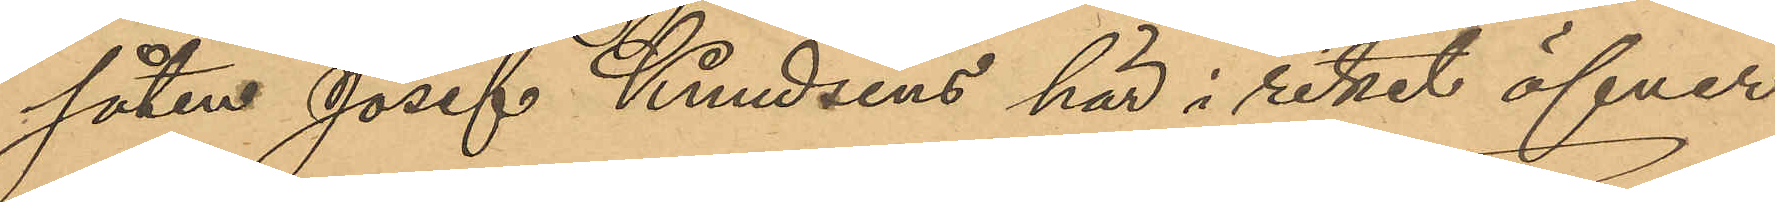såten Josef Kundsens här i riket öfver¬
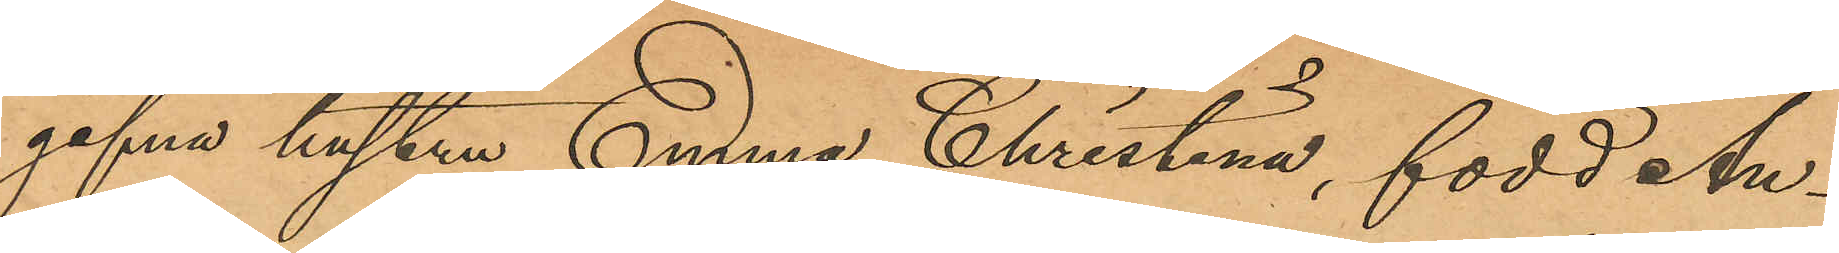gifna hustru Emma Christina, född An¬
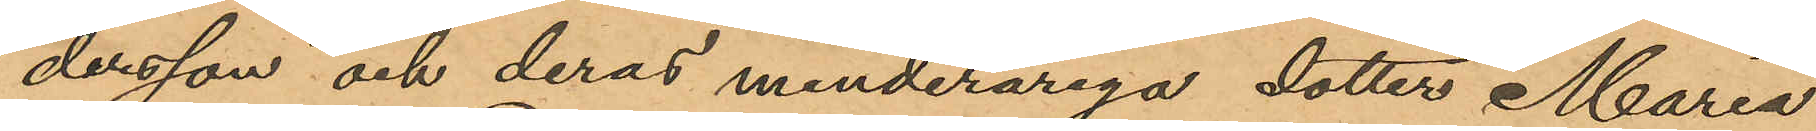dersson och deras minderåriga dotter Maria
